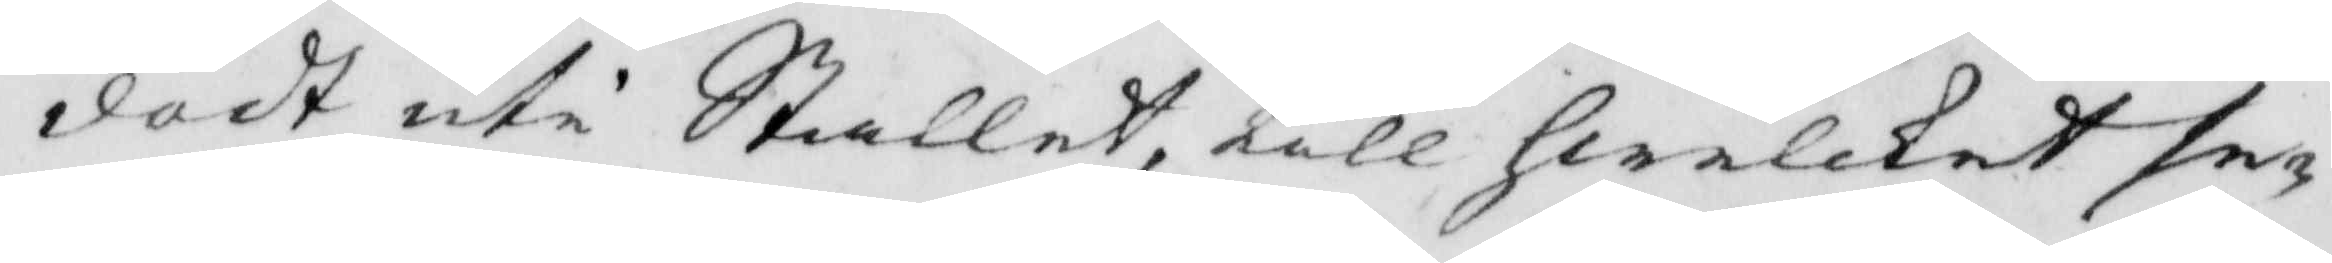dödt uti Stallet, till hwilket se¬
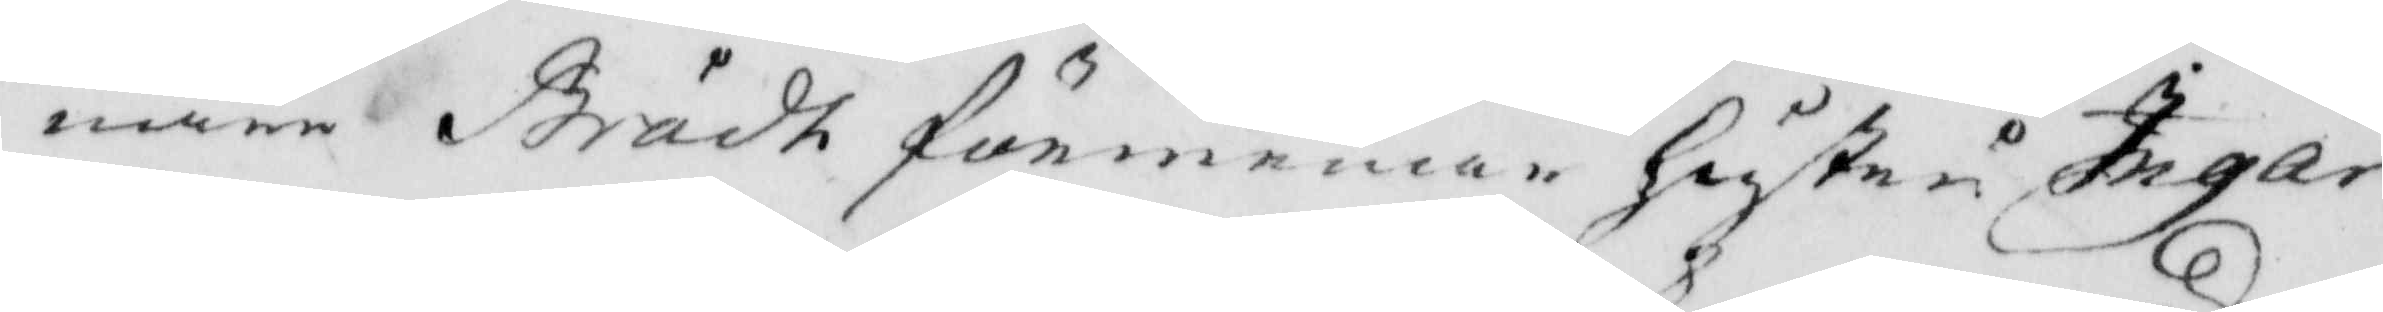nare Brådt förmenar hustru Ingar
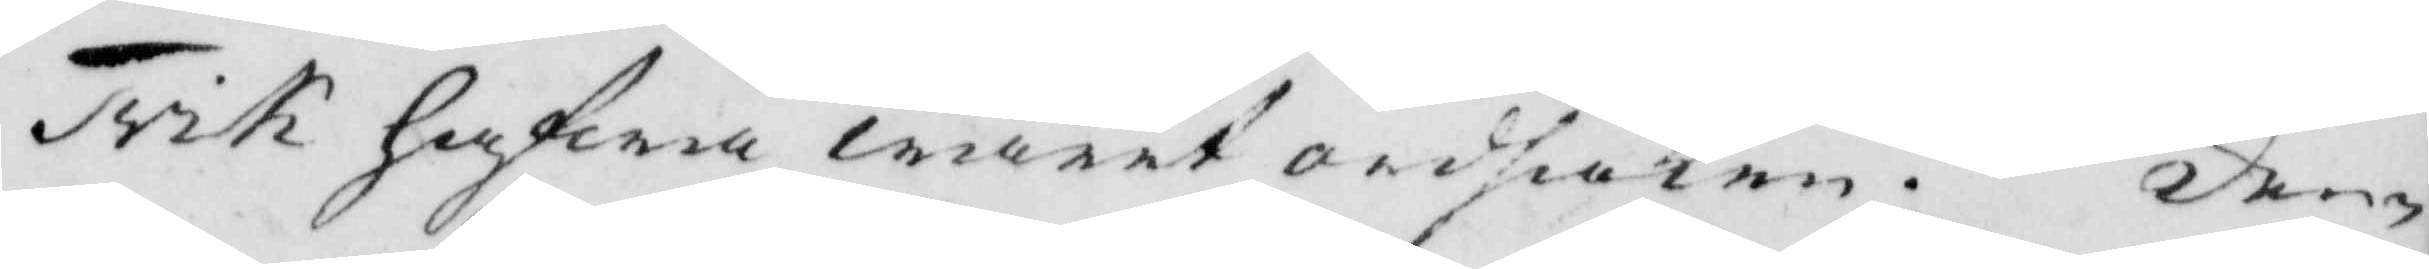Trik hafwar warit ordsaken. Den¬
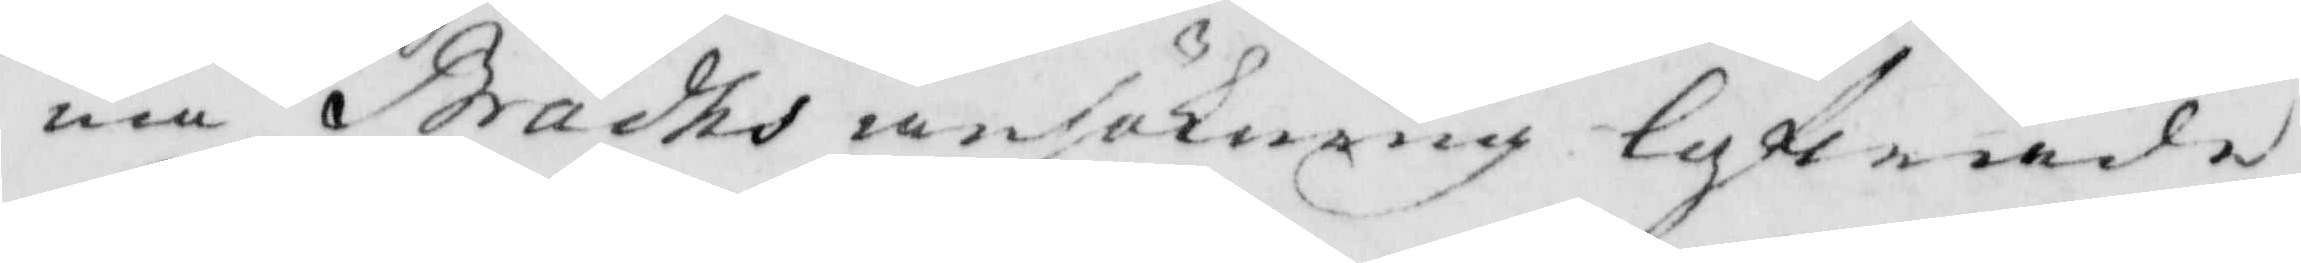ma Brådhs ansökning lofwade
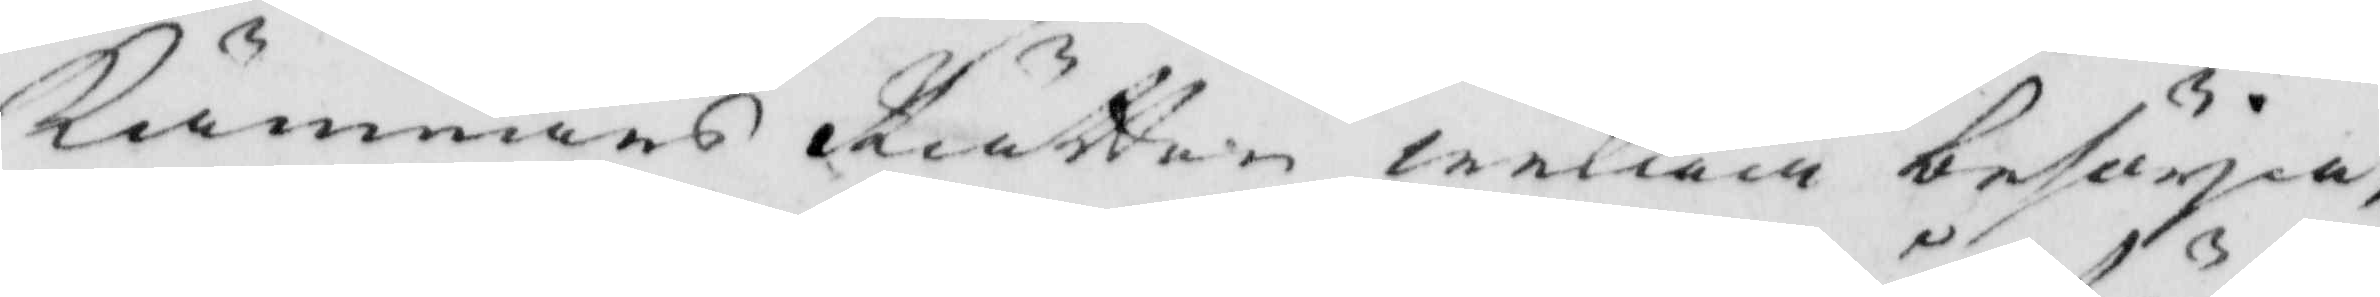Kämnärs Rätten willia besörja,
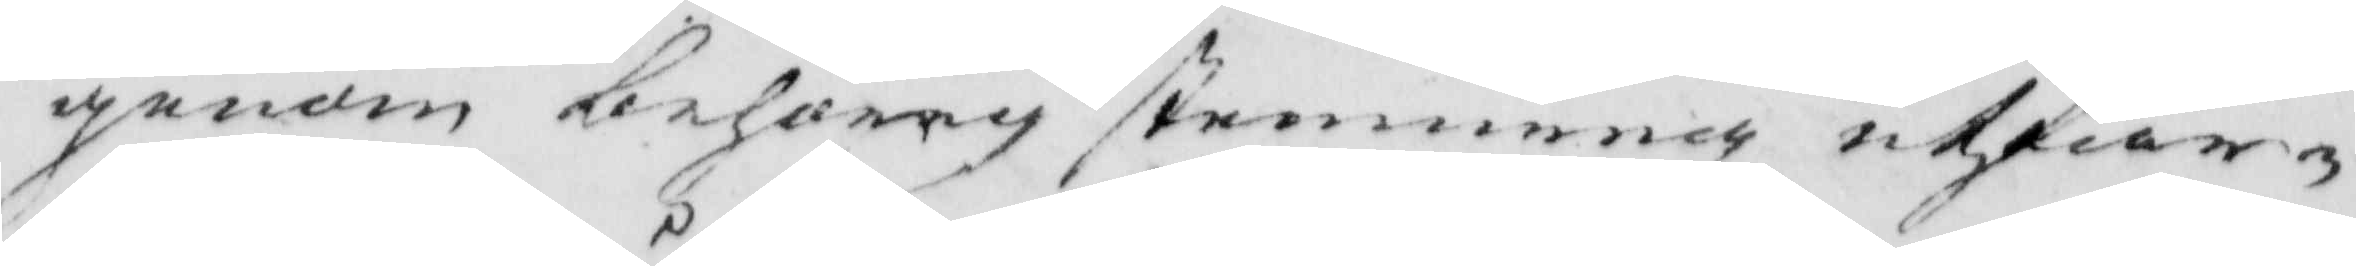genom behörig stemmning utfär¬
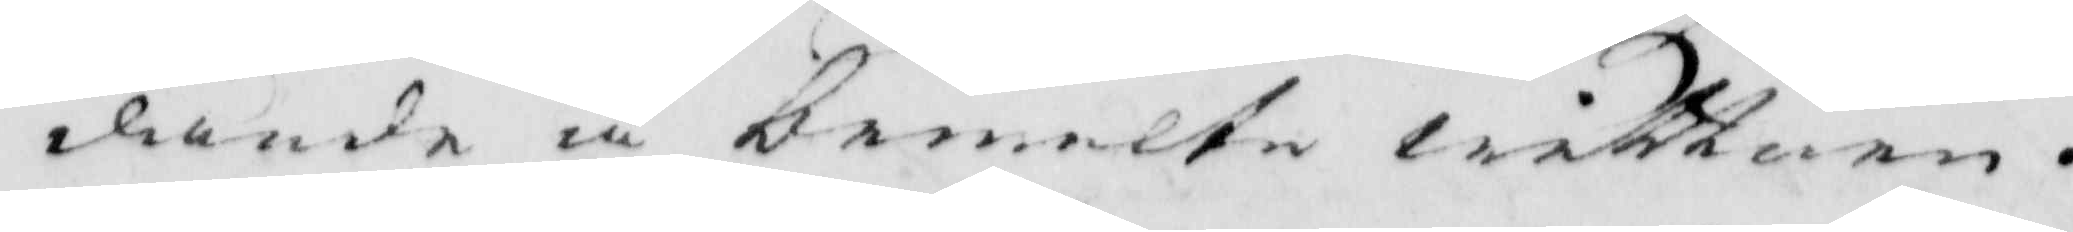dande å bemelte wittnen.
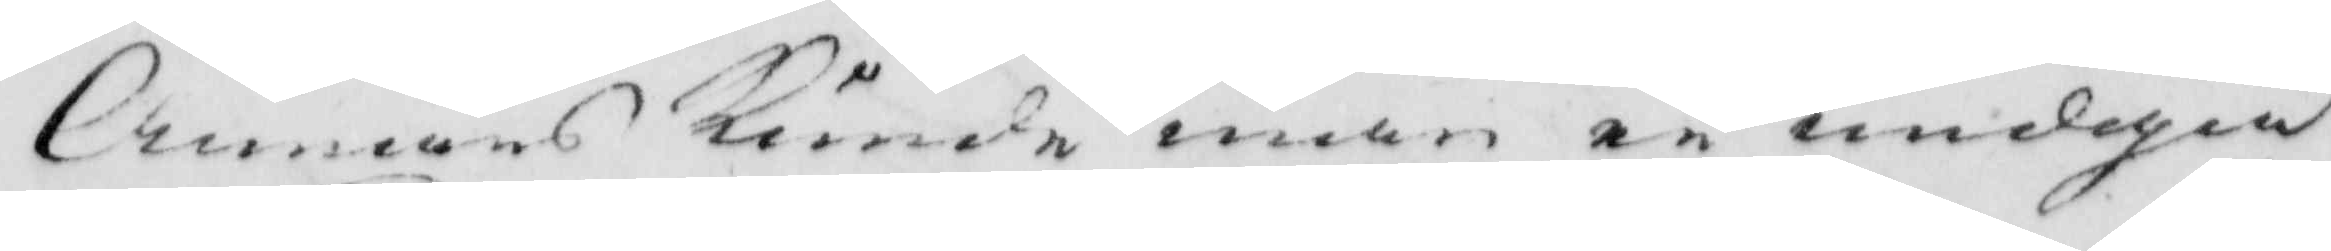Annars kunde man ei undgå
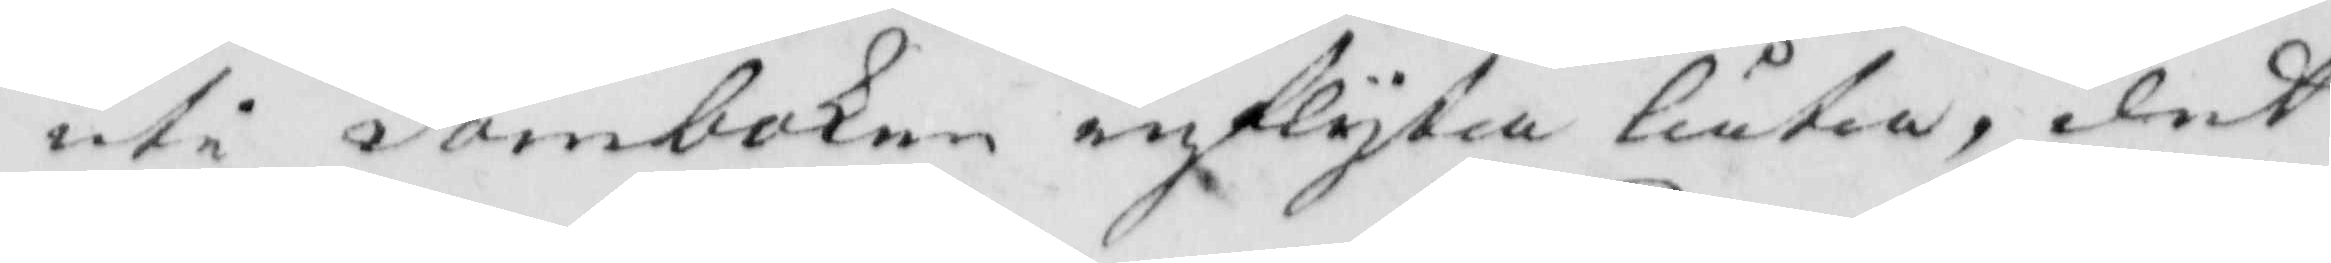uti domböken inflyka låti, det
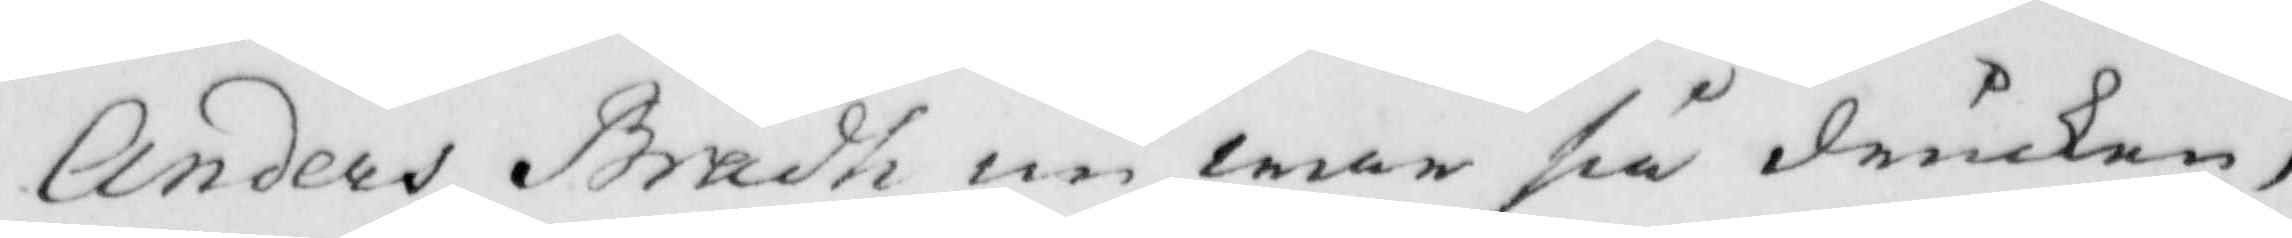Anders Brådh nu war så drucken,
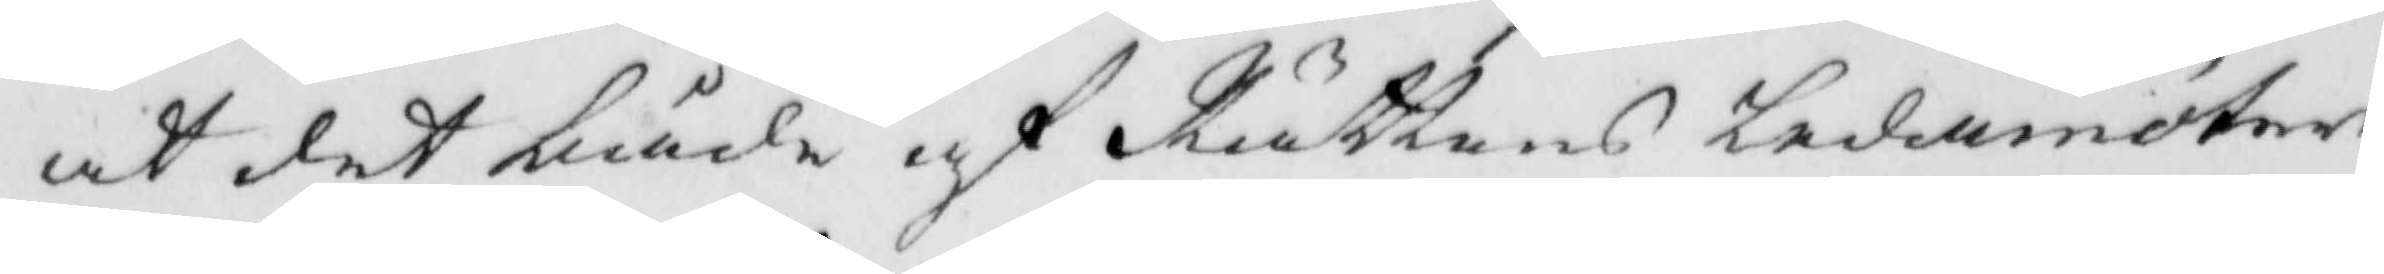att det kunde af Rättens ledamöter
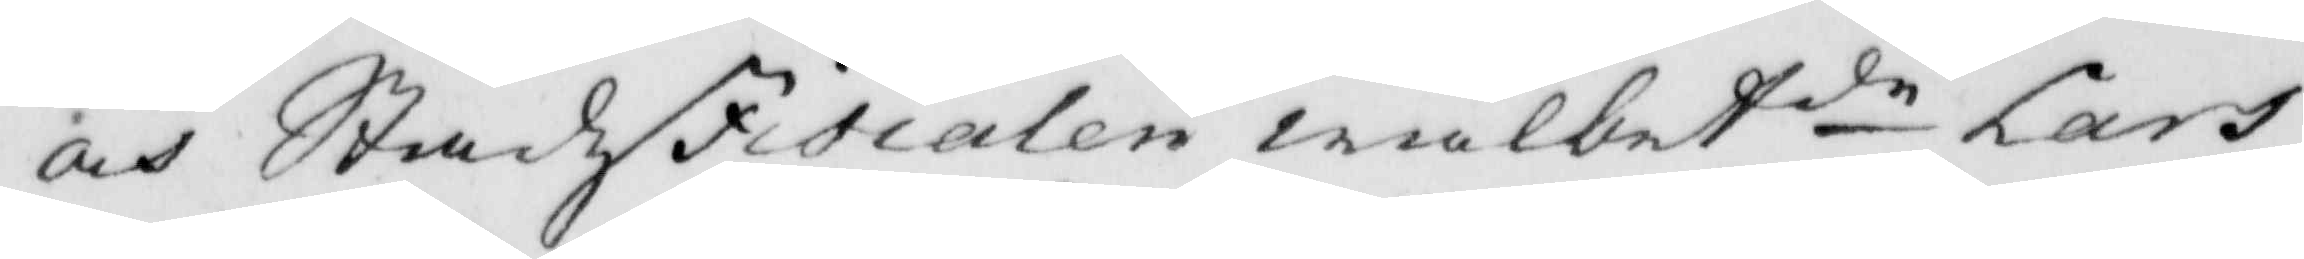och StadzFiscalen wälbetde Lars 
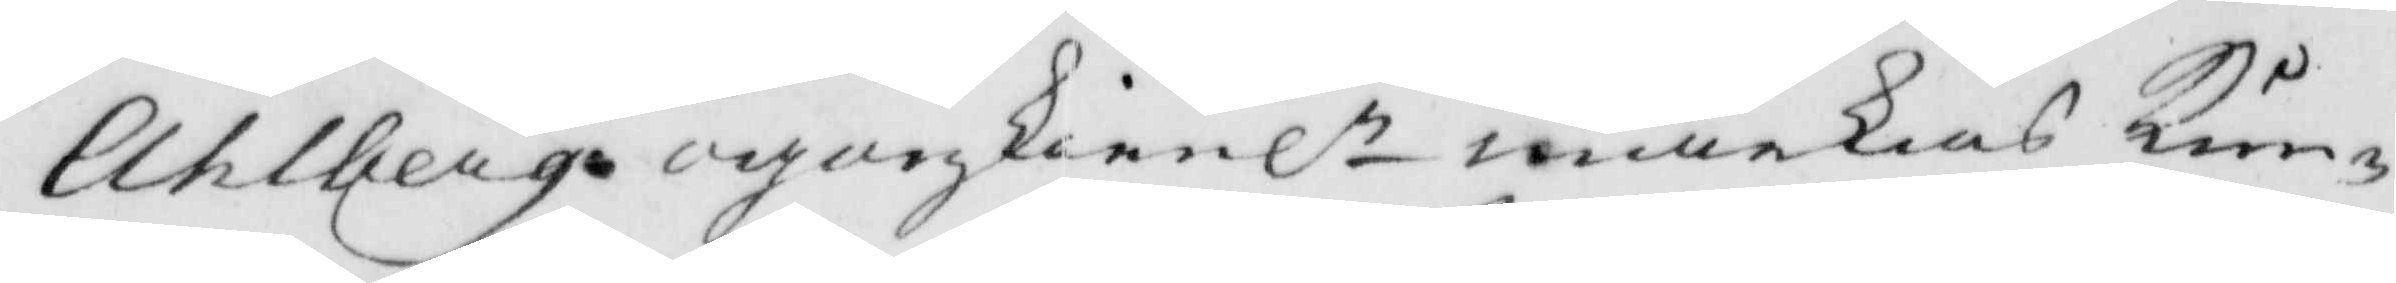Ahlberg ögonskienlt märkas kun¬
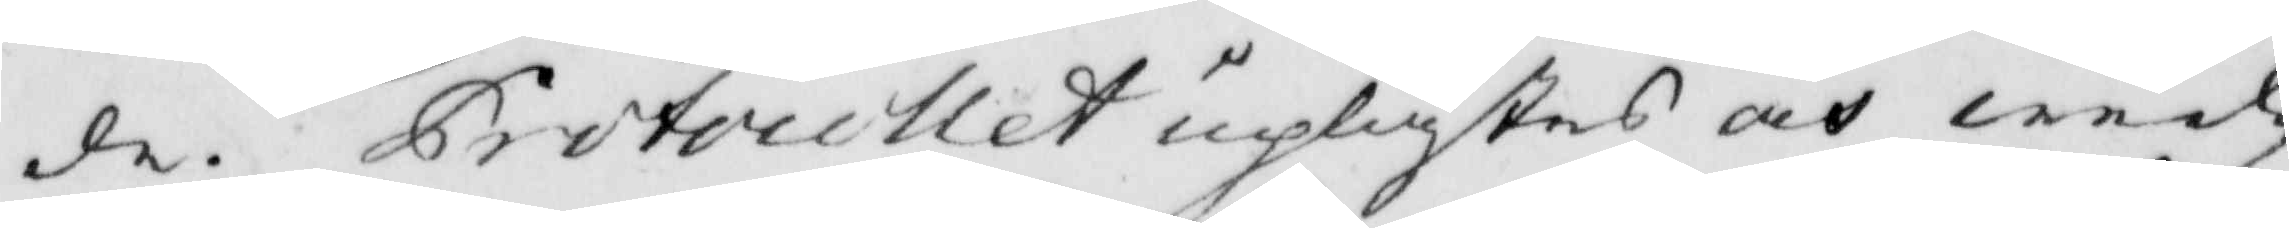de. Protocellet uplästes och wid¬
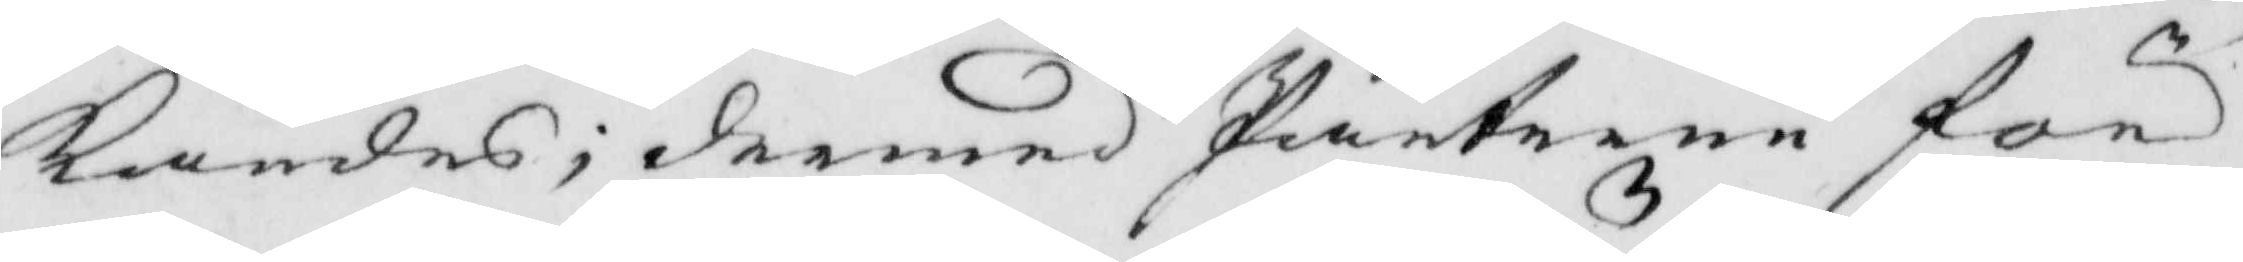kändes; dermed Parterne för
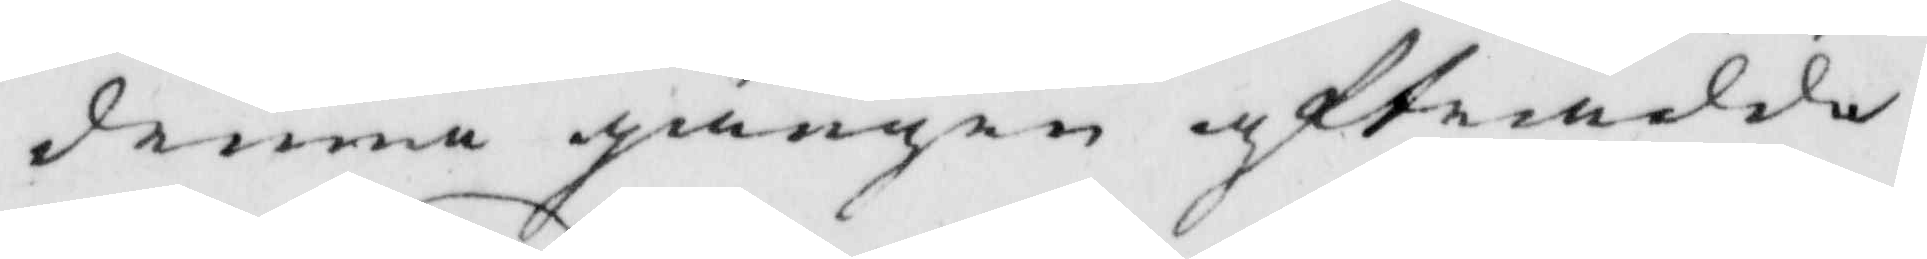denna gången afträdde.
